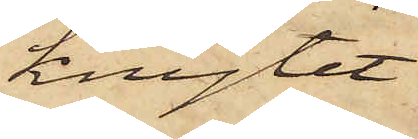knytet
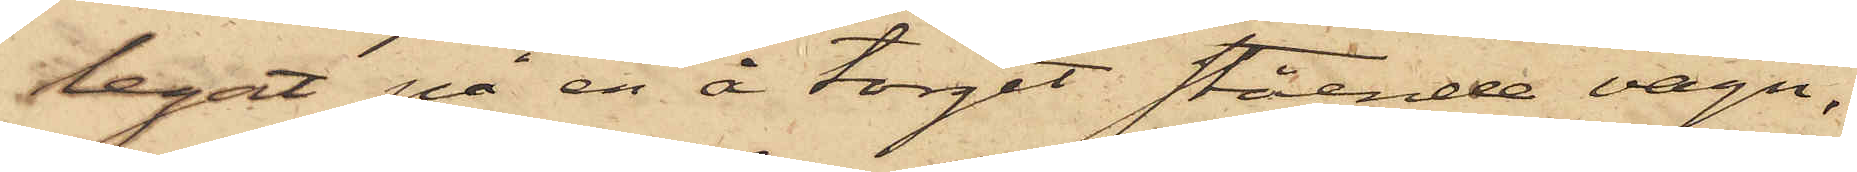legat på en å torget stående vagn,
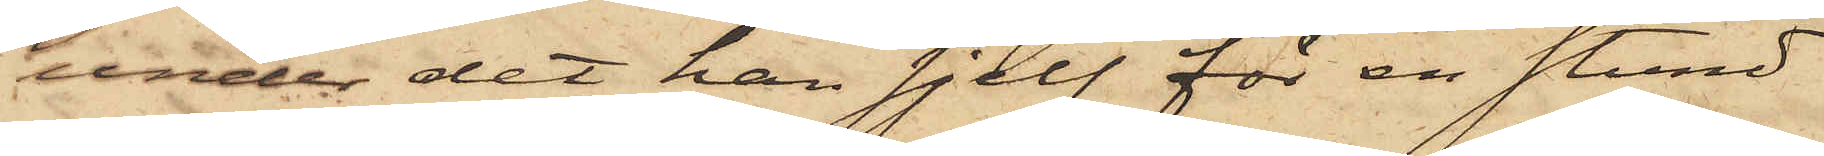under det han sjelf för en stund
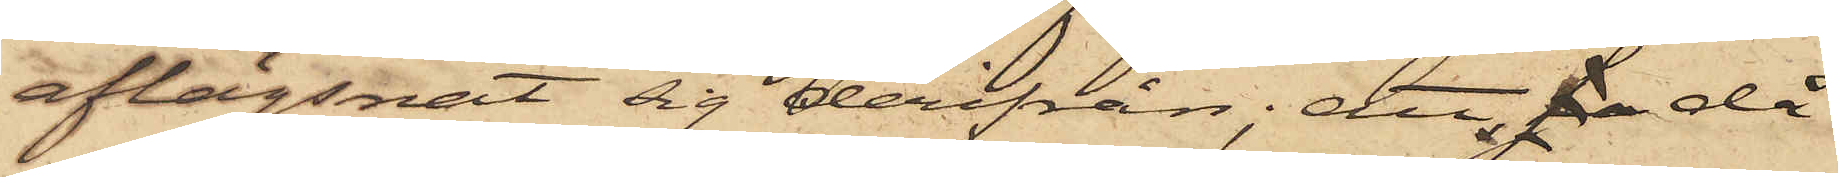aflägsnat sig derifrån; att sa då
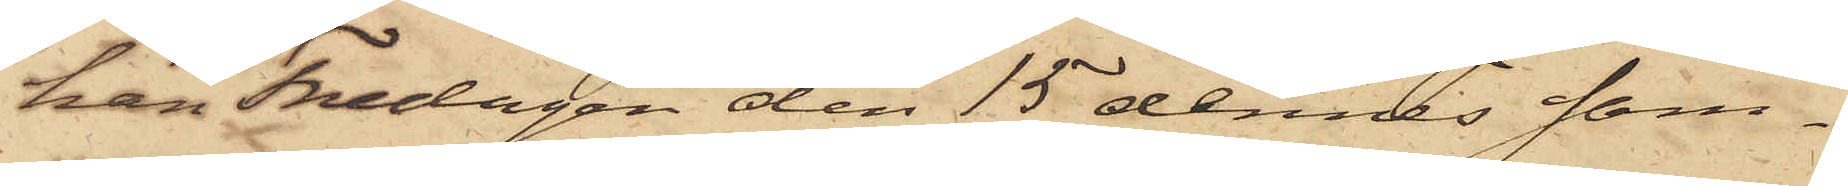han Fredagen den 15 dennes sam¬
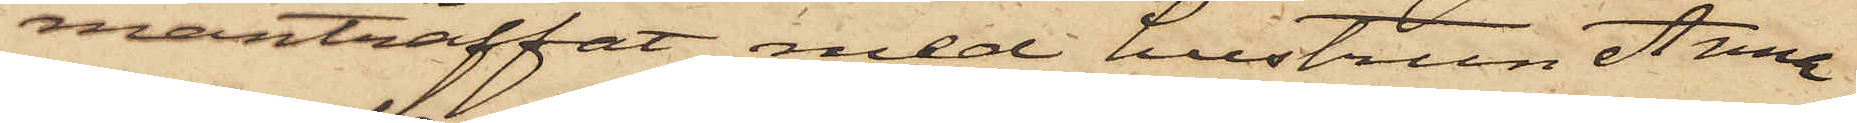manträffat med hustrun Anna
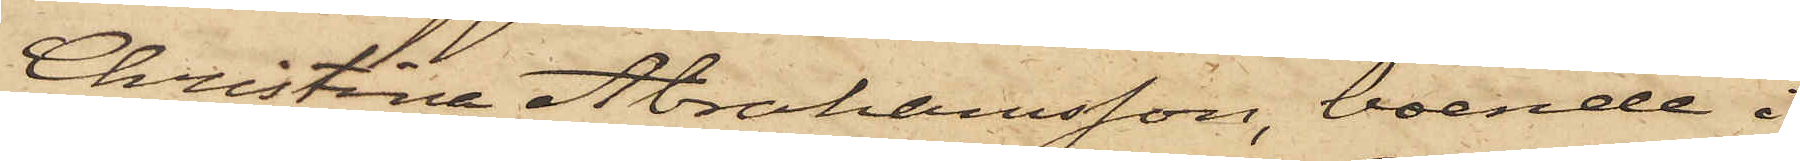Christina Abrahamsson, boende i
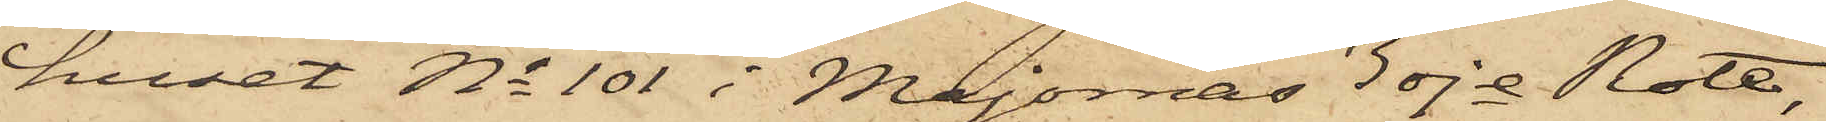huset No 101 i Majornas 3dje Rote,
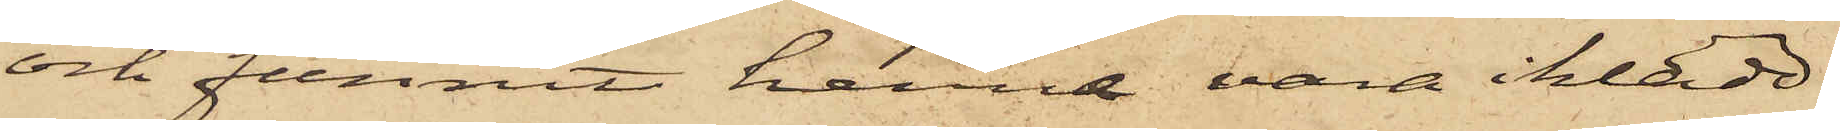och funnit henne vara iklädd
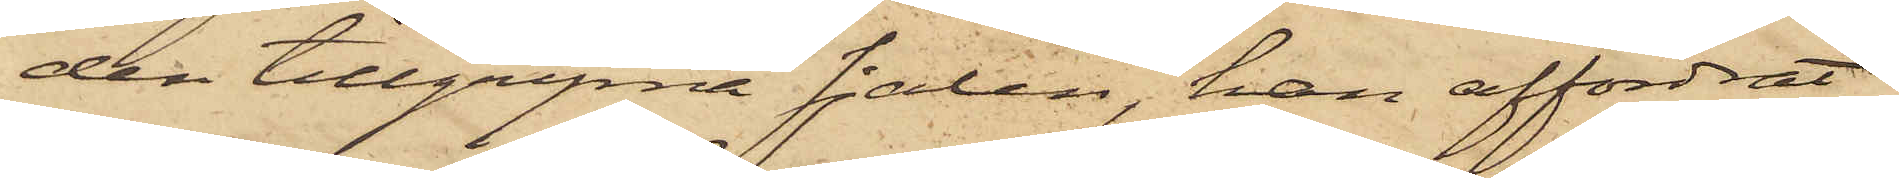den tillgripne sjalen, han affordrat
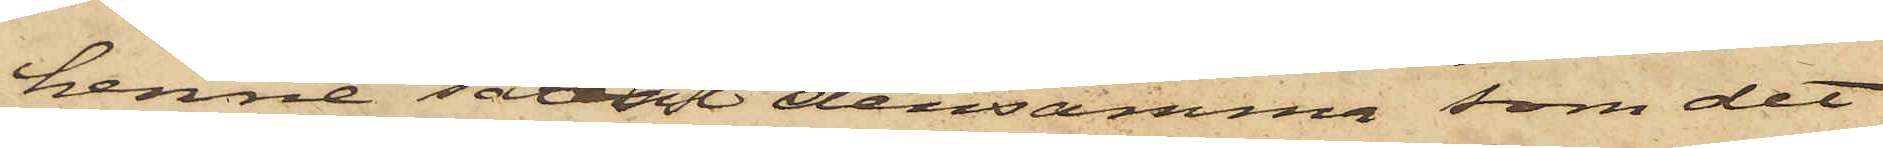henne såväl densamma som det
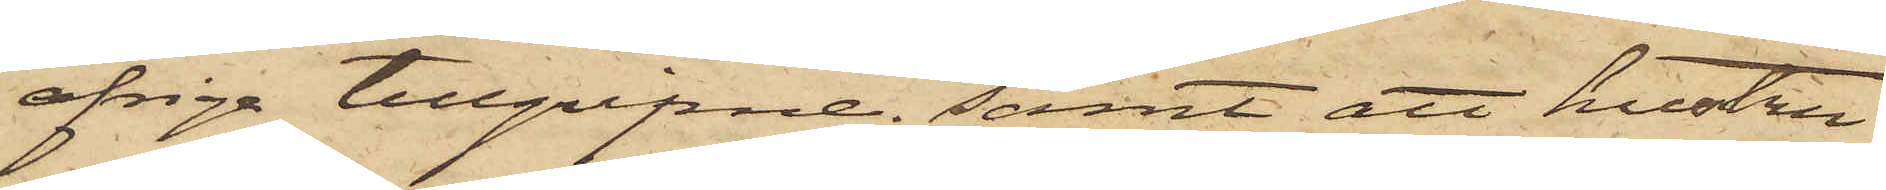öfriga tillgripne; samt att hustru
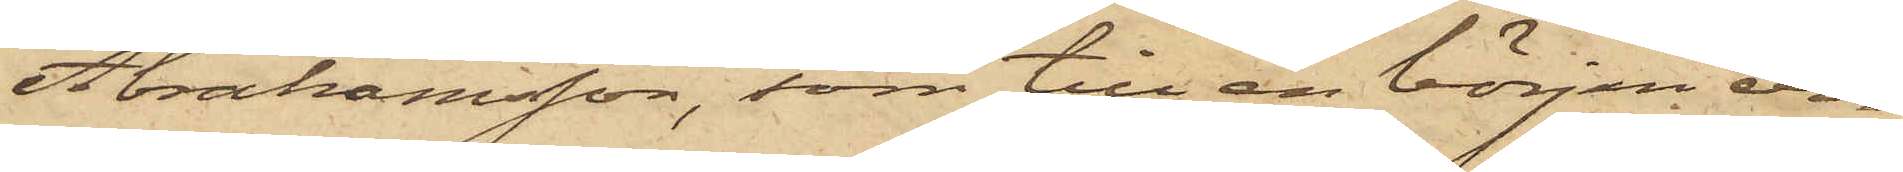Abrahamsson, som till en början er¬
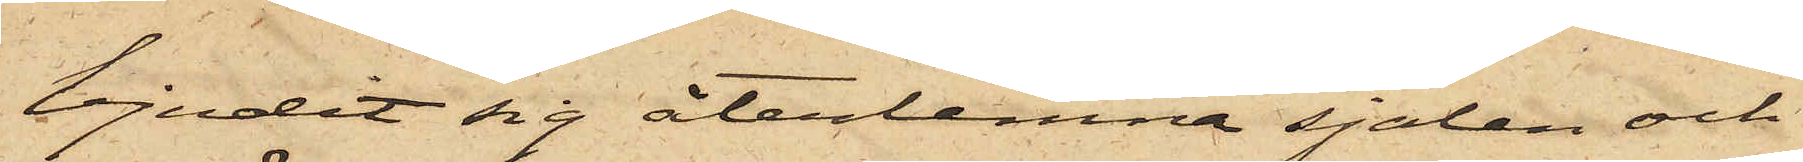bjudit sig återlemna sjalen och
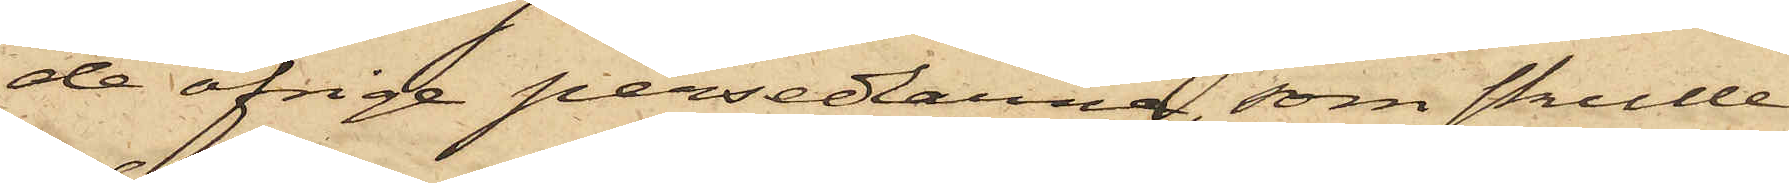de öfrige persedlarna, som skulle
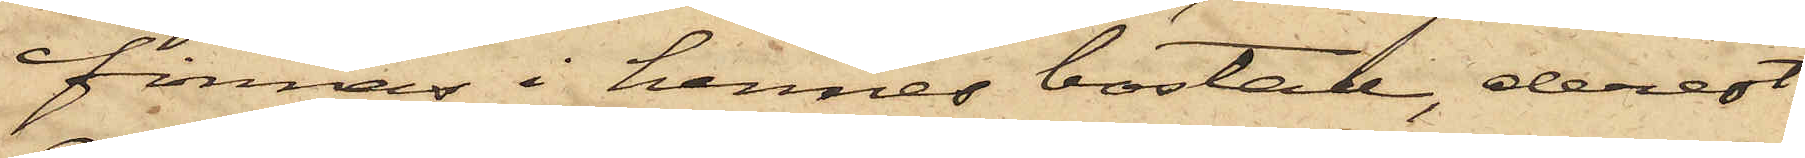finnas i hennes bostad, derest
